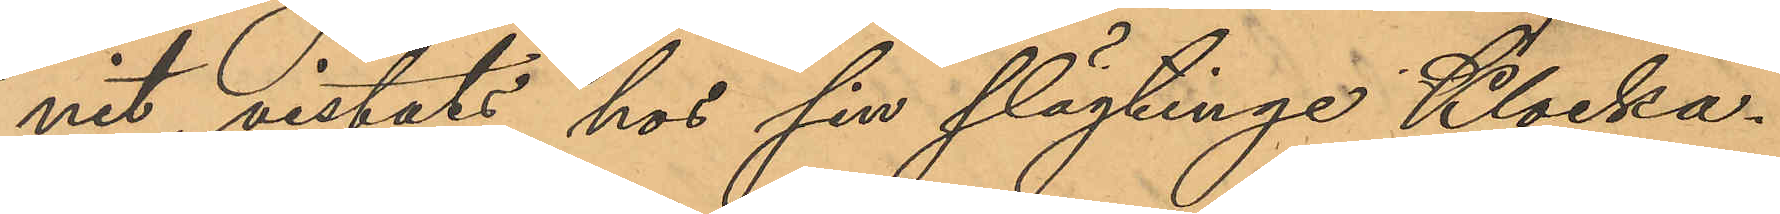nit, vistats hos sin slägting Klocka¬
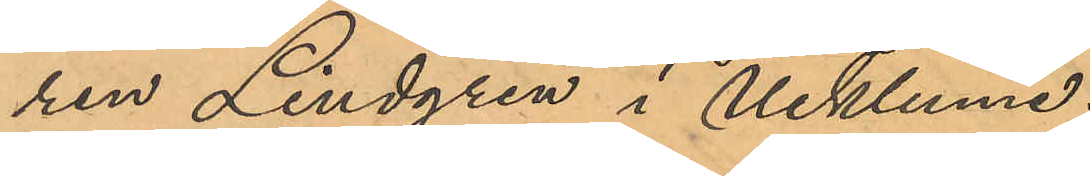ren Lindgren i Ucklum.
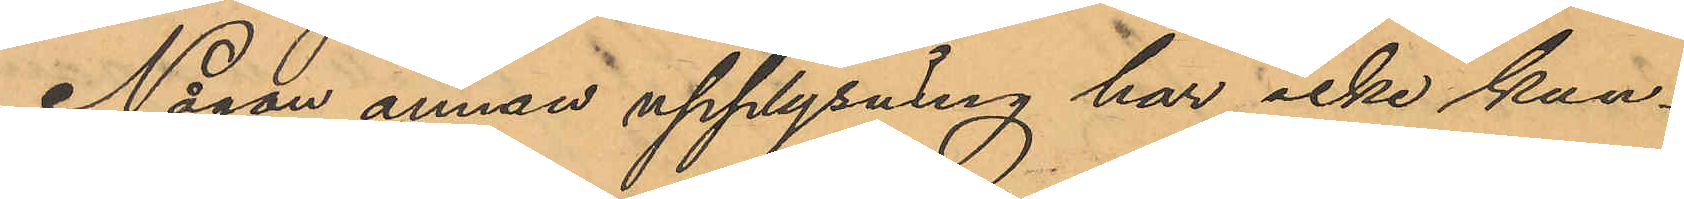Någon annan upplysning har icke kun¬
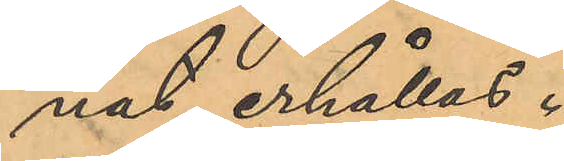nat erhållas.
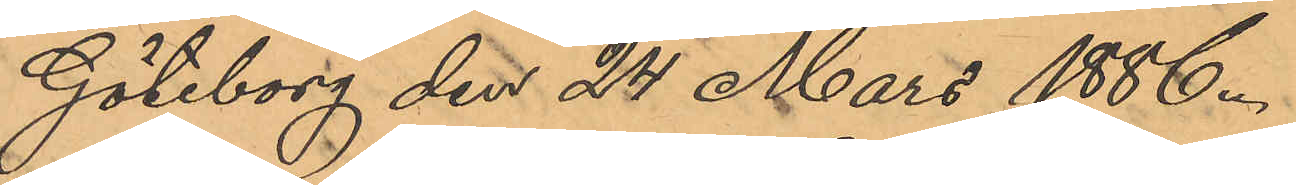Göteborg den 24 Mars 1886.
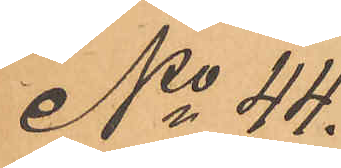No 44.
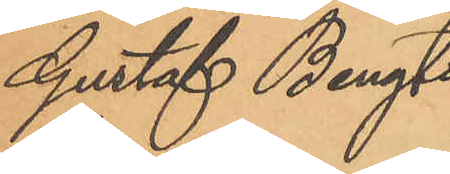Gustaf Bengts¬
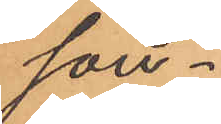son
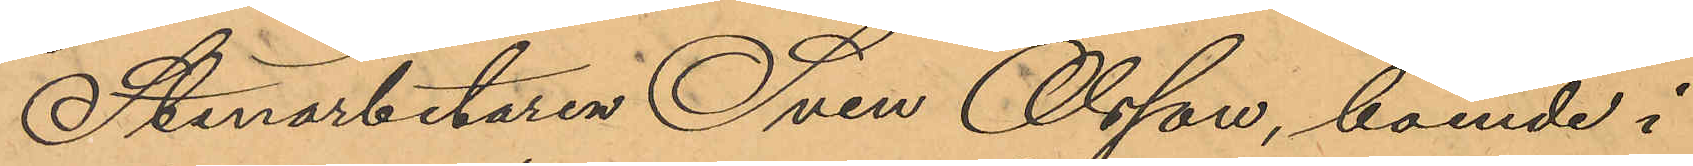Stenarbetaren Sven Olsson, boende i
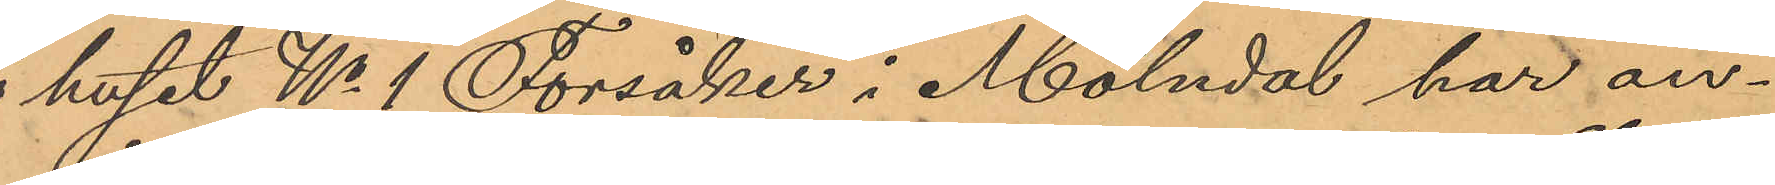huset No 1 Forsåker i Mölndal har an¬
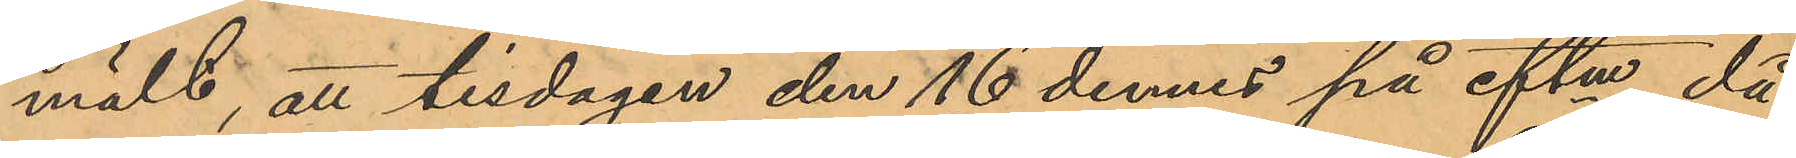mält, att tisdagen den 16 dennes på eftm, då
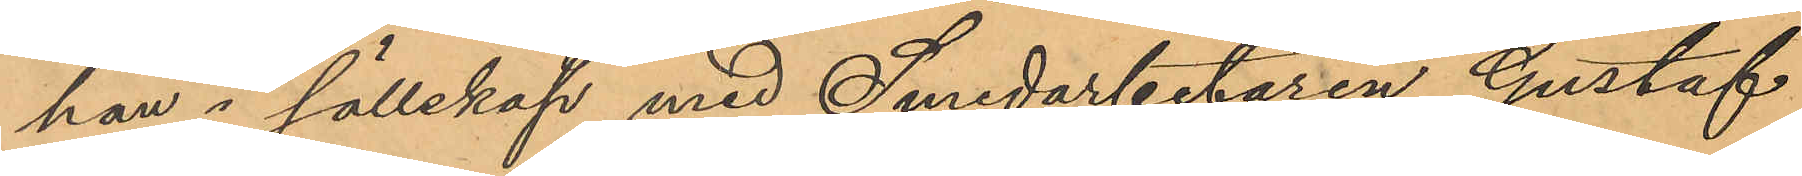han i sällskap med Smedarbetaren Gustaf
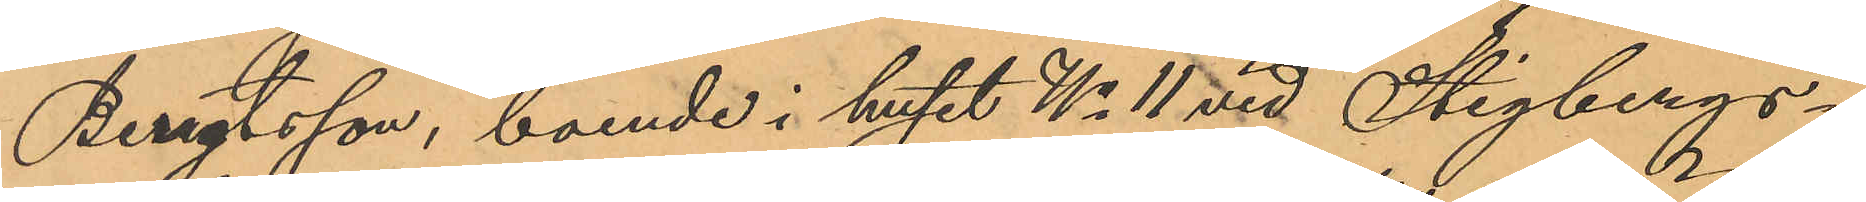Bengtsson, boende i huset No 11 vid Stigbergs¬
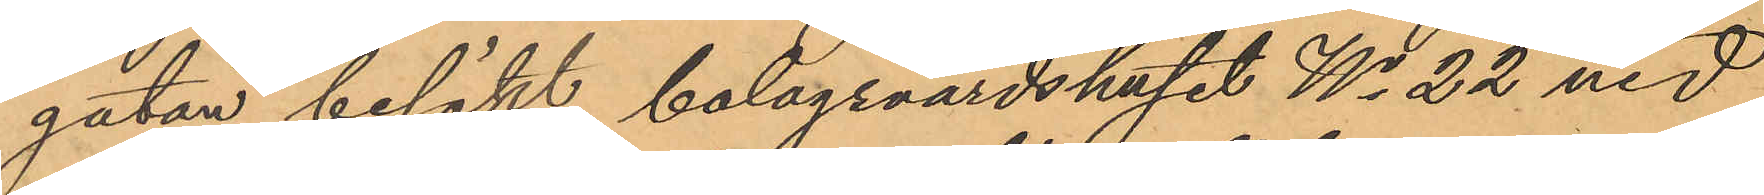gatan besökt bolagsvärdshuset No 22 vid
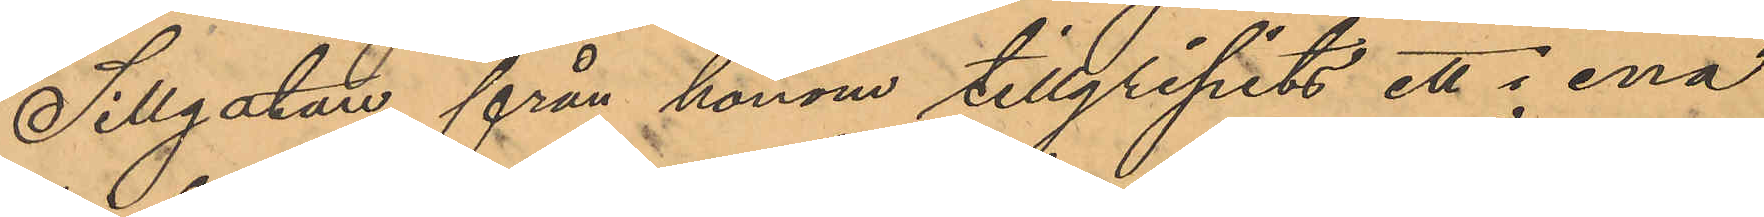Sillgatan från honom tillgripits ett i ena
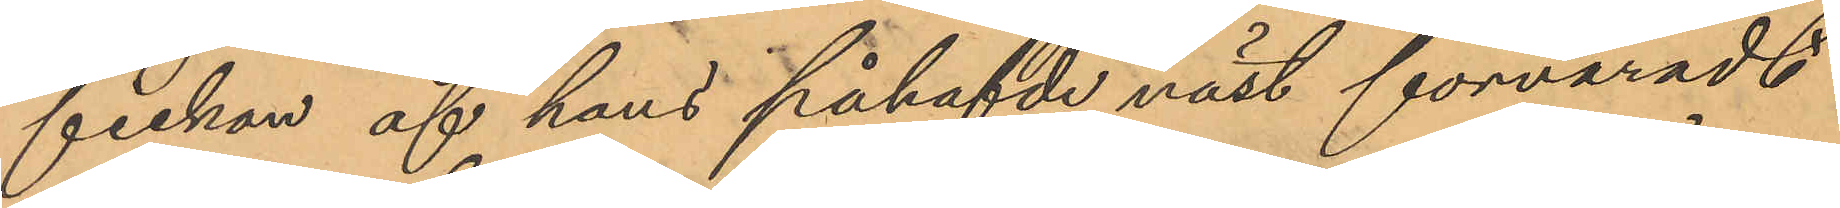fickan af hans påhafvde väst förvaradt
